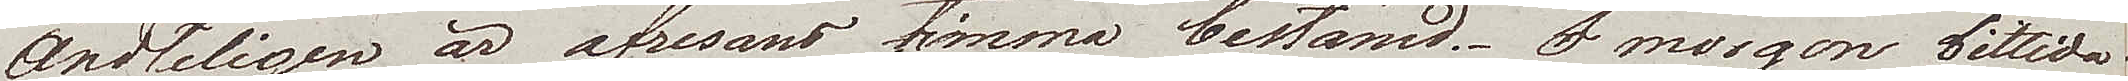Ändtligen är afresans timme bestämd. I morgon bittida
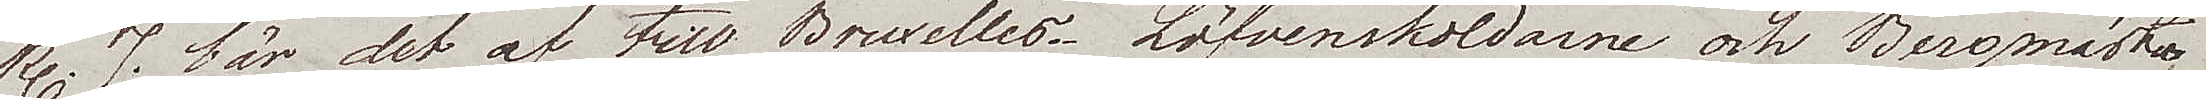kl. 7 bär det af till Bruxelles. Löfvenskoldarne och Bergmästa¬
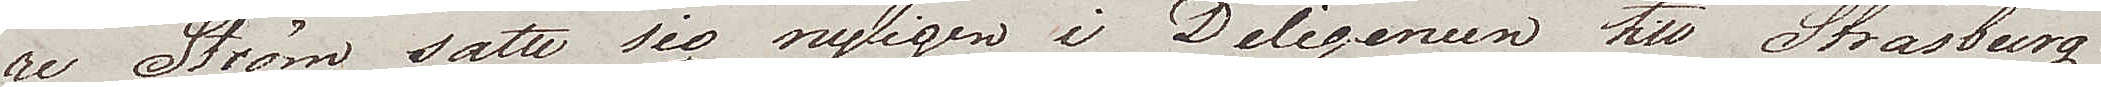re Ström satte sig nyligen i Deligencen till Strasburg. 
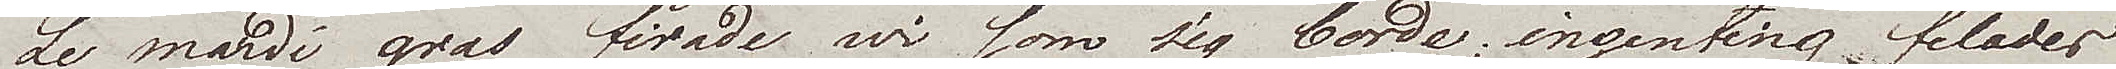Le mardi gras firade wi som sig borde, ingenting felades
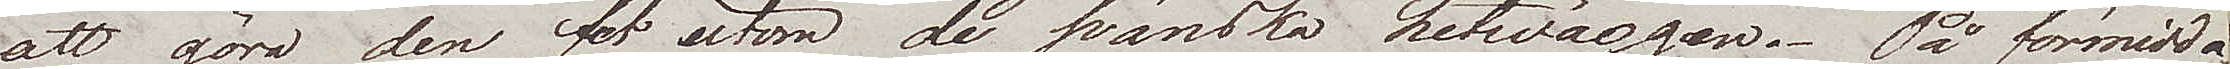att göra den fet utom de svänska hetwäggen. På förmidda¬
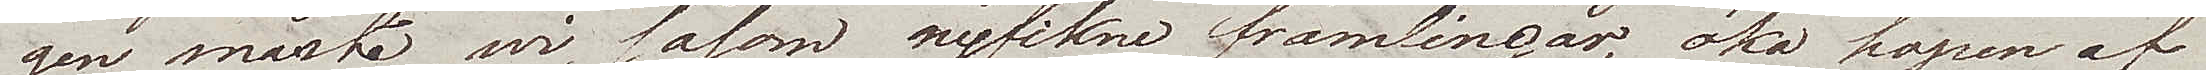gen måste wi, såsom nyfikne främlingar, öka hopen af
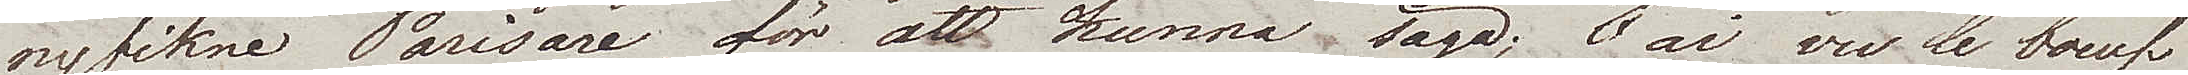nyfikne Parisare, för att kunna säga "J'ai vu le boeuf
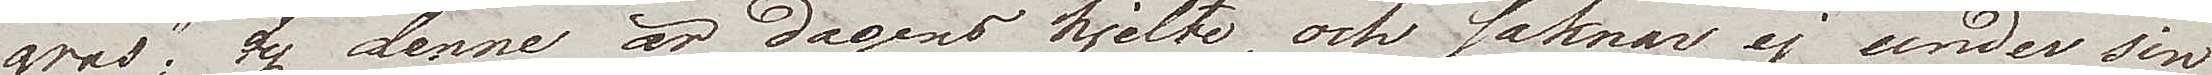gras", ty denne är dagens hjelte, och saknar ej under sin
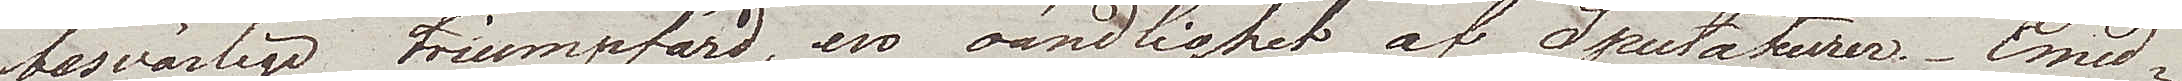besvärliga triumpfärd, en oändlighet af Spectateurer. Emed¬
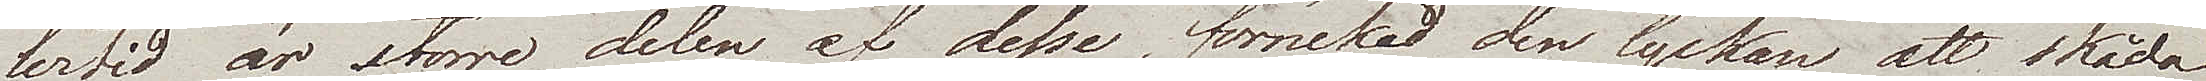lertid är större delen af desse, förnekad den lyckan att skåda
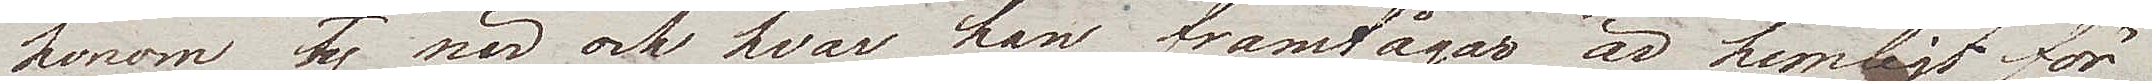honom, ty när och hvar han framtågar är hemligt för
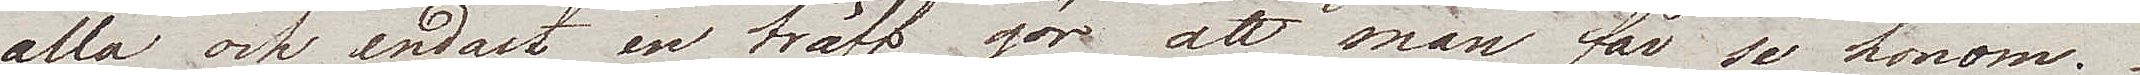alla och endast en träff gör att man får se honom.
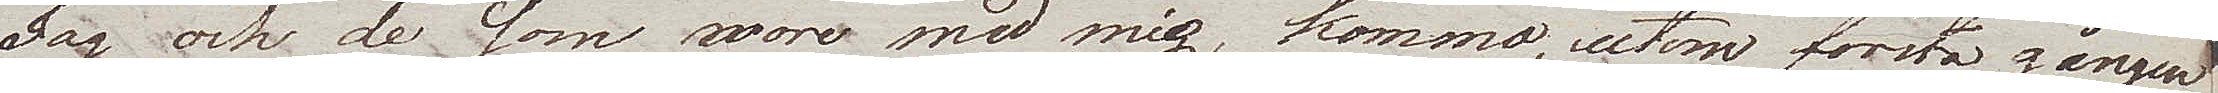Jag och de som woro med mig, kommo, utom första gången
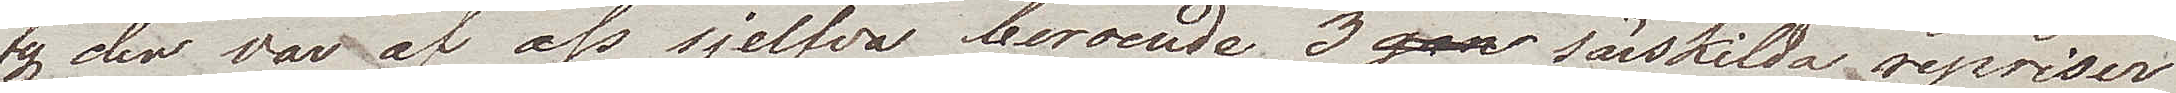ty den var af oss sjelfva beroende, 3 särskilda repriser
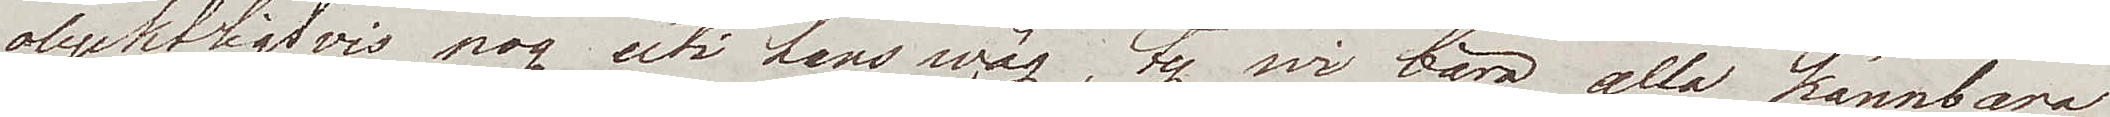olyckligtvis nog uti hans wäg, ty wi bära alla kännbara
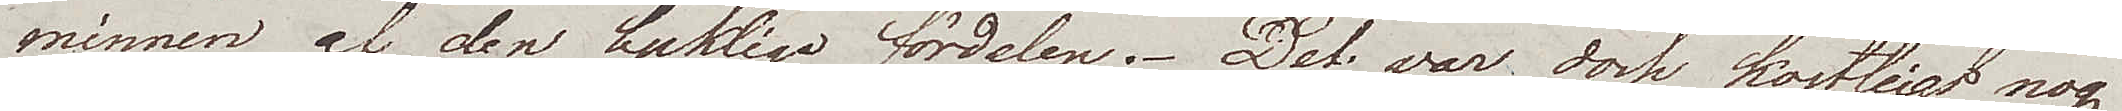minnen af den lyckliga fördelen. Det var dock kostligt nog
